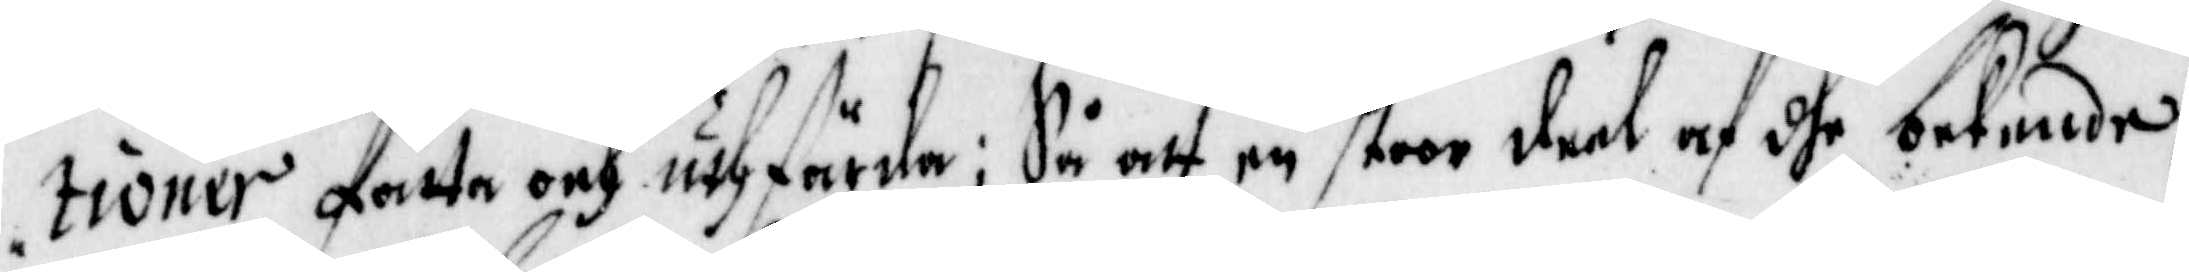tioner fatta och uthfärda; Så att en stoor deel af dhe bekende,
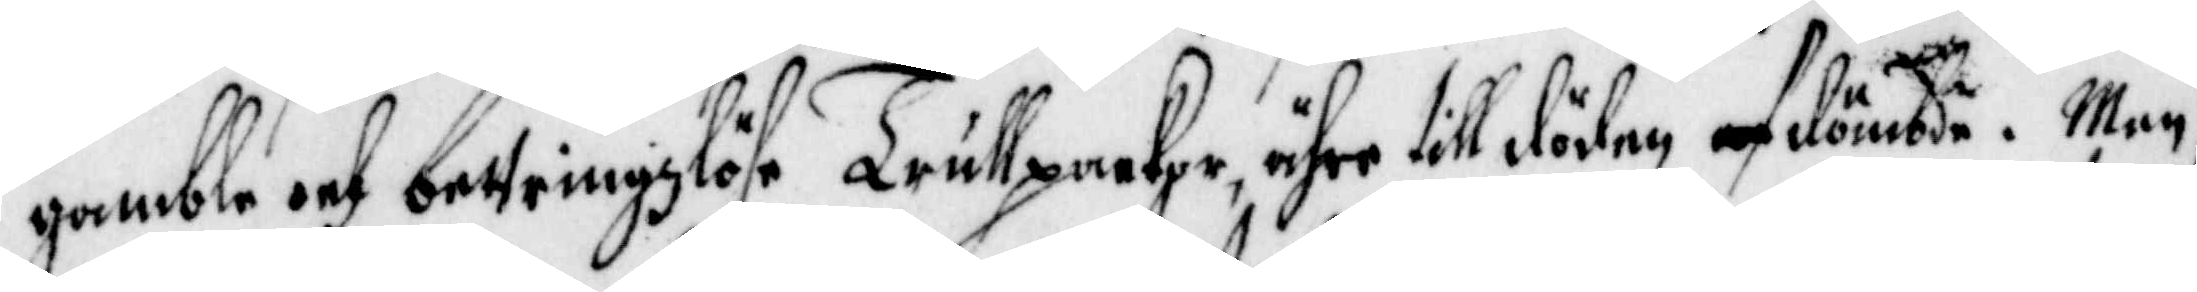gamble och bettringzlöse Trullpackor ähre till döden afdömbde. Men
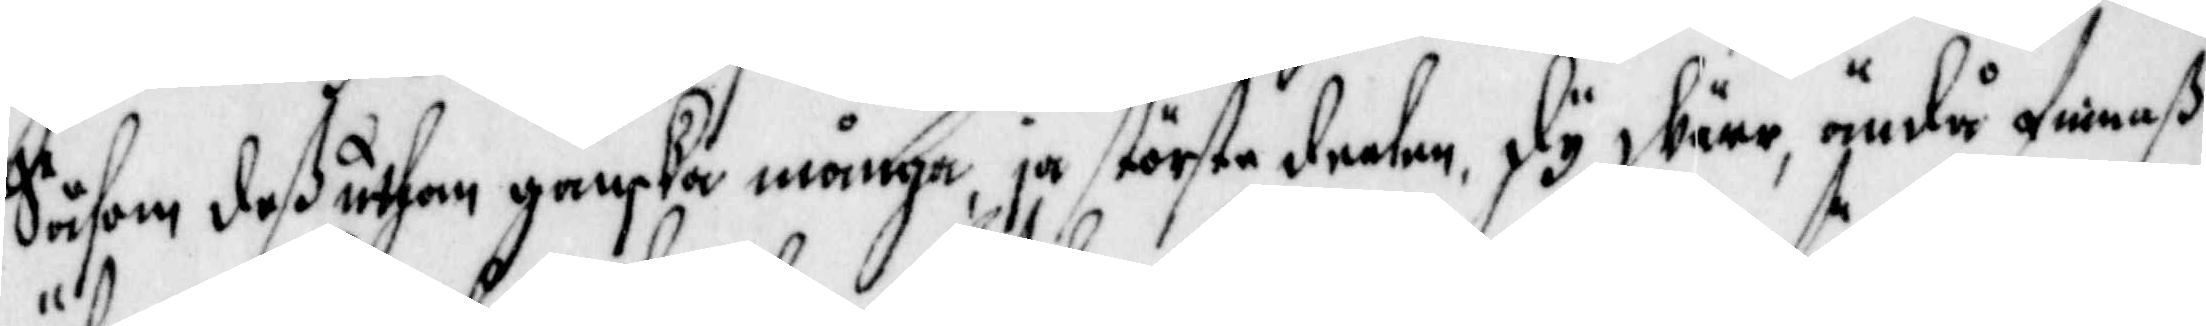Såsom dess uthan ganska många ja största deelen, dy däre, ändå finnass
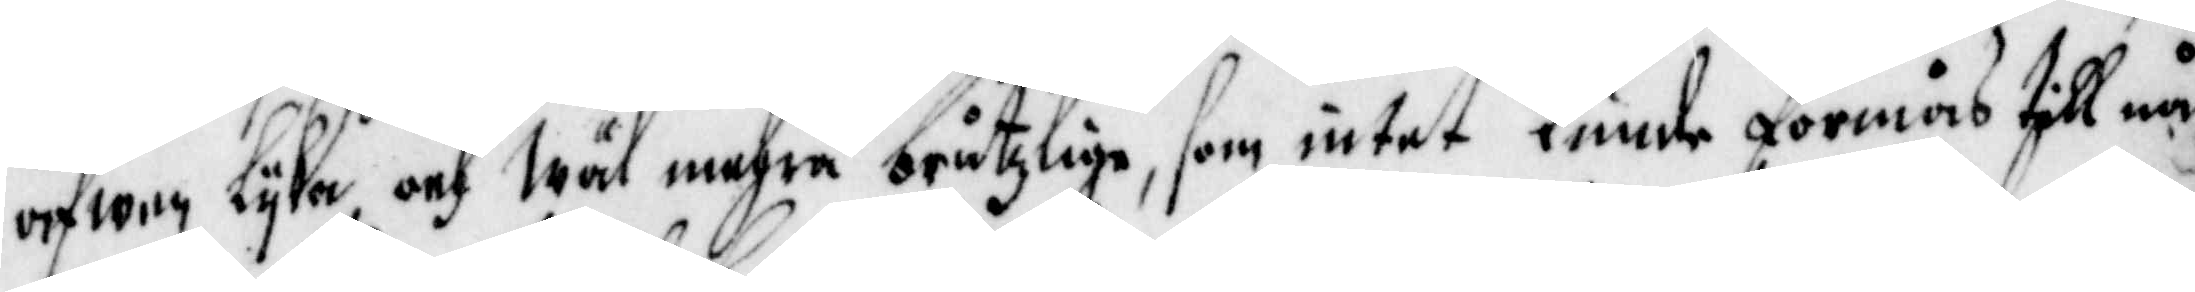äfwen lijka och wäl mehra bråtzlige, som intet Kunde förmås till nå¬
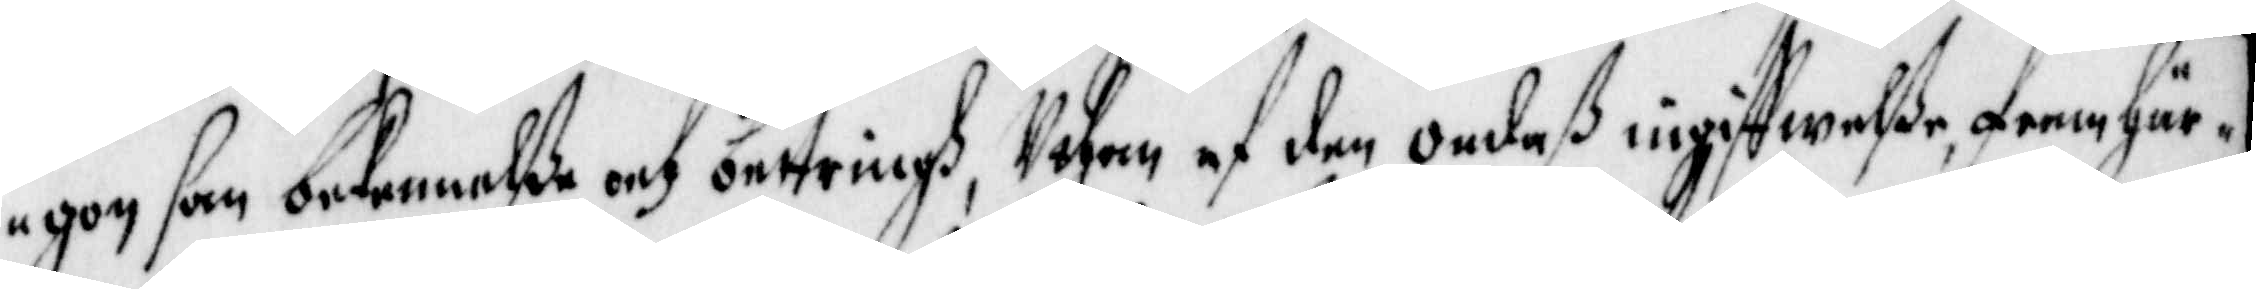gon san bekennelsse och bettring, Uthan af den Ondess ingiffwelsse framhär¬
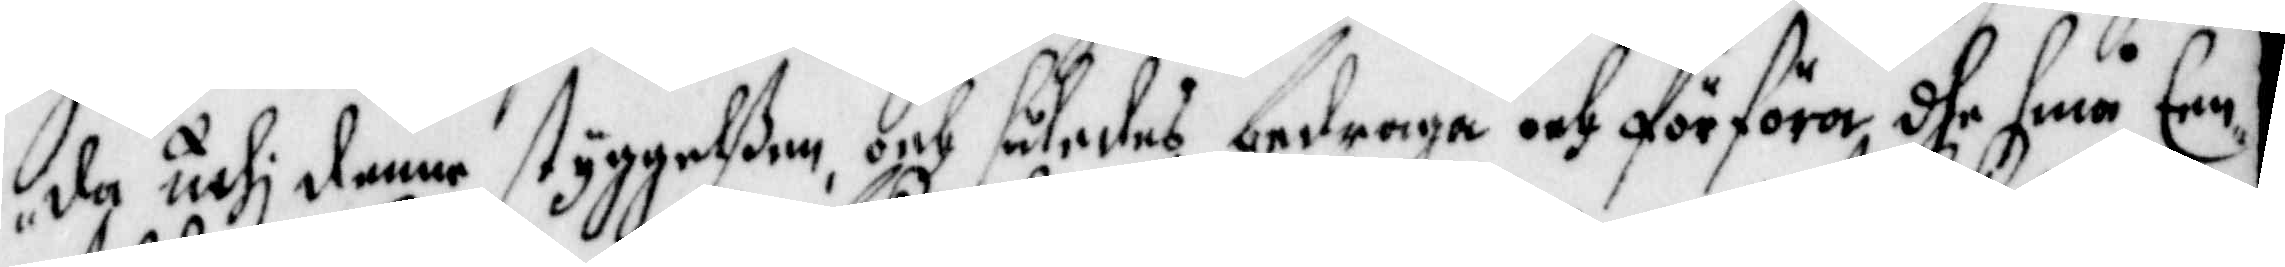da uthj denne styggelsen, och således bedraga och förföra dhe små Een¬
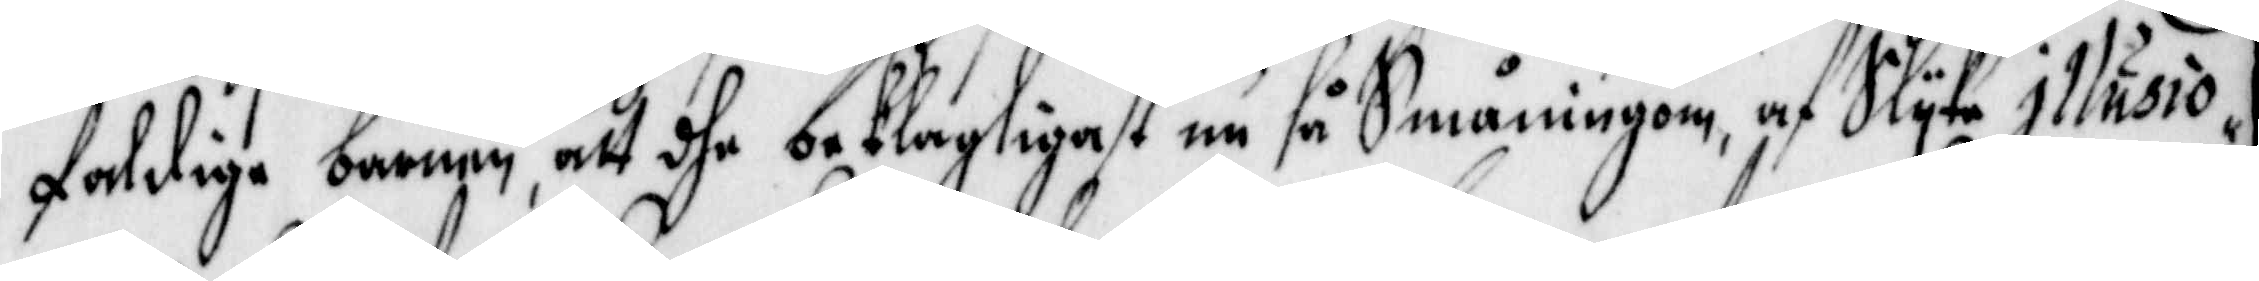 faldige barnen att dhe beklagligast nu så Småningom, af Slijke Illusio¬
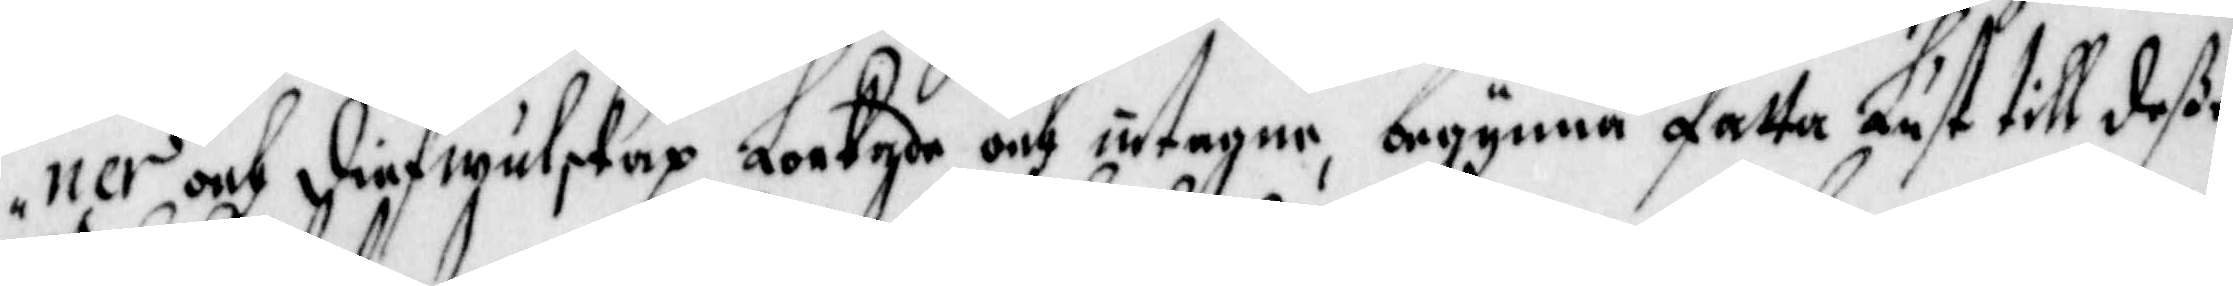ner och Diefwulskap Lockade och uttagne, begynna fatta Lust till desse
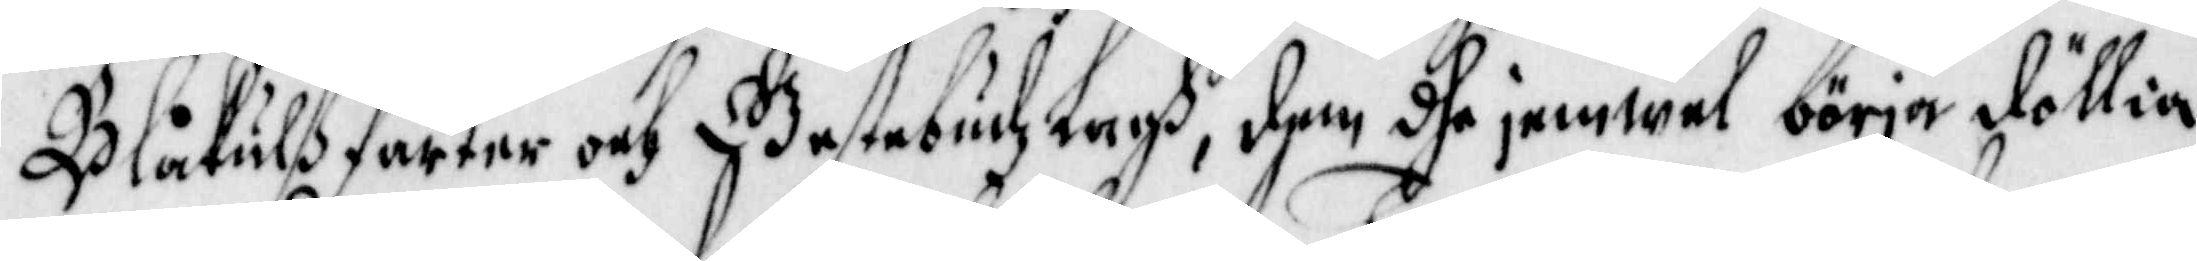Blåkulss farter och Gestebudz Lagh, dem dhe jemwel börja döllia
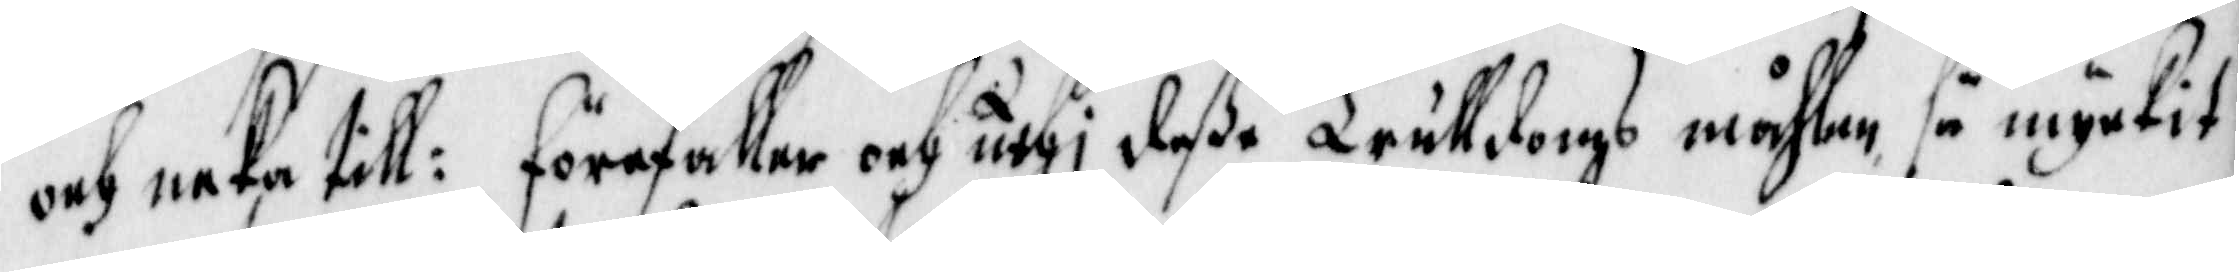och neka till: förefaller ocj uthi desse Trulldoms måhlen så myckit
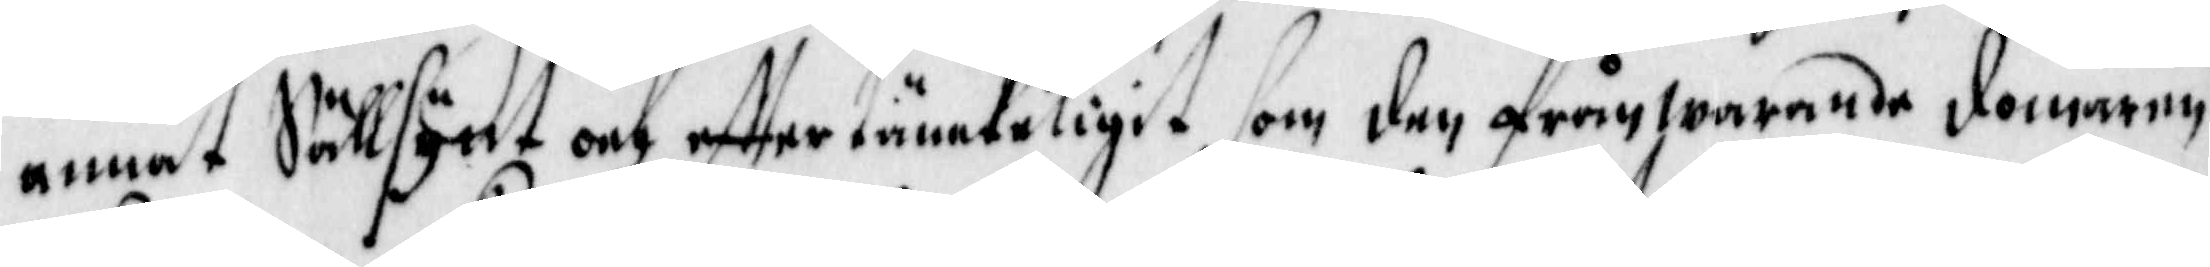annat Sällsynt och effter tänckeligit som den frånwarande domaren
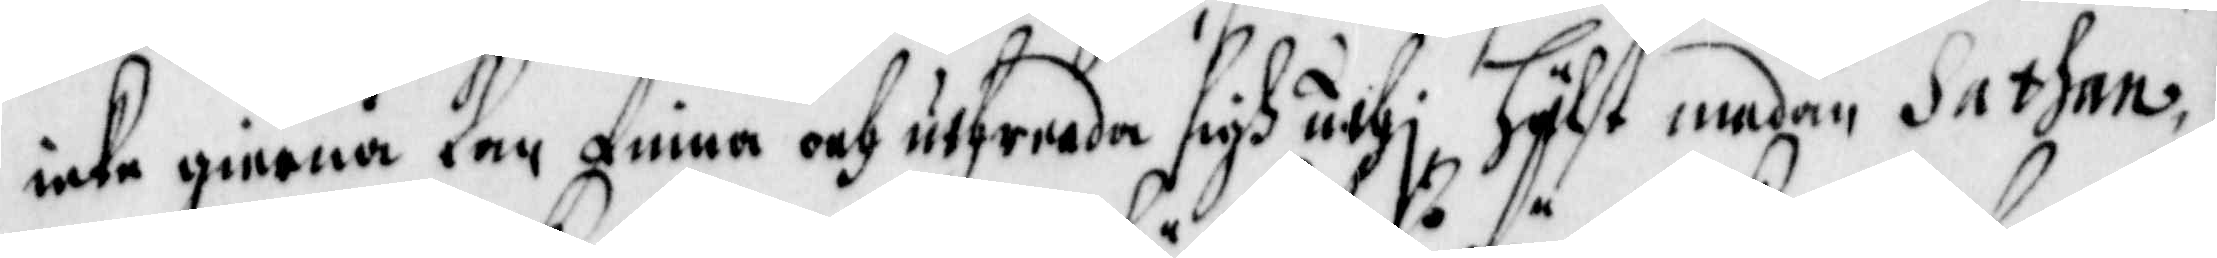icke gierna Kan finna och uthreeda sigh uthj hälst medan Sathan
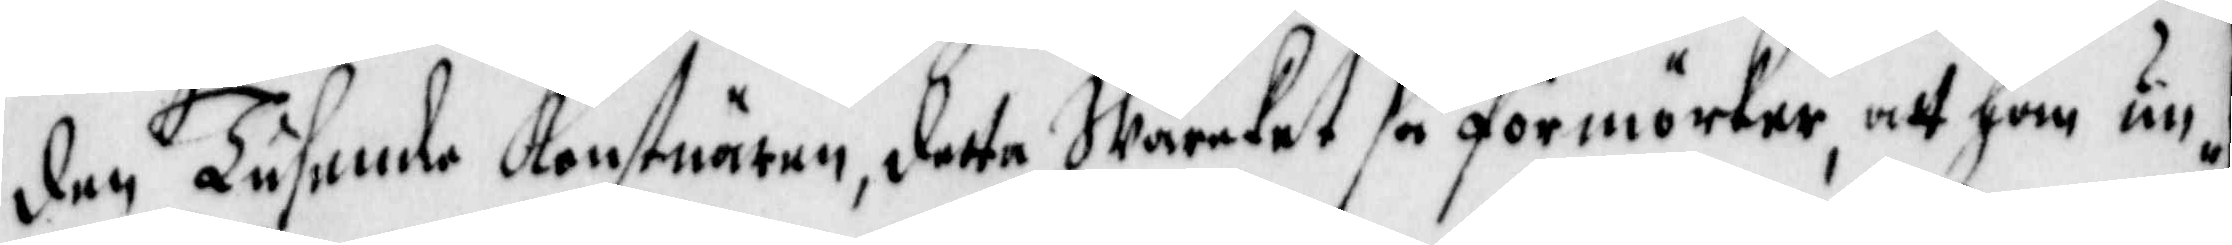den Tusemde Konstnärem detta Wärcket så förmörker att han un¬
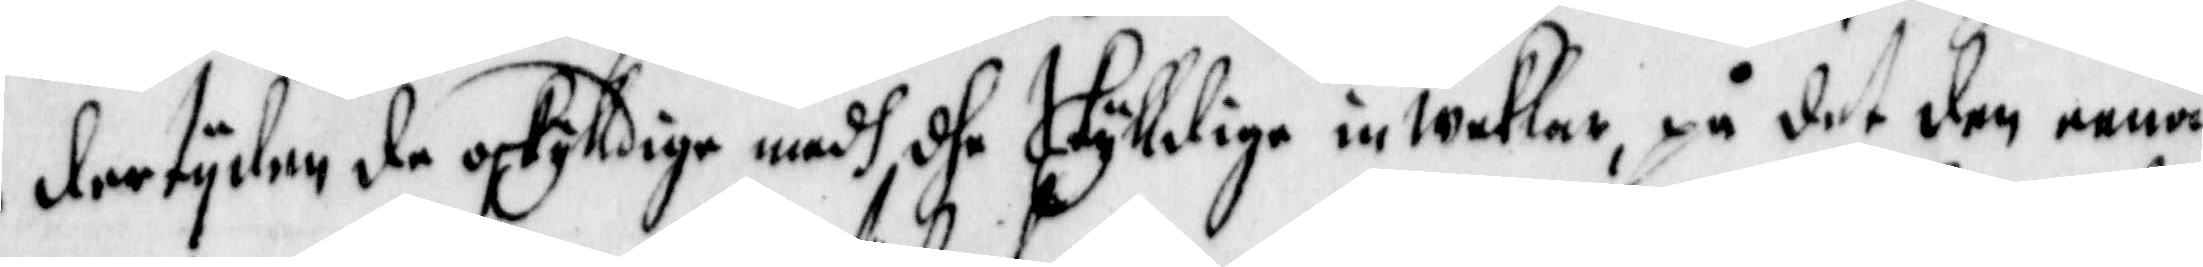der tijden de oskylldige medh dhe Skylldige inweklar, på det den eena
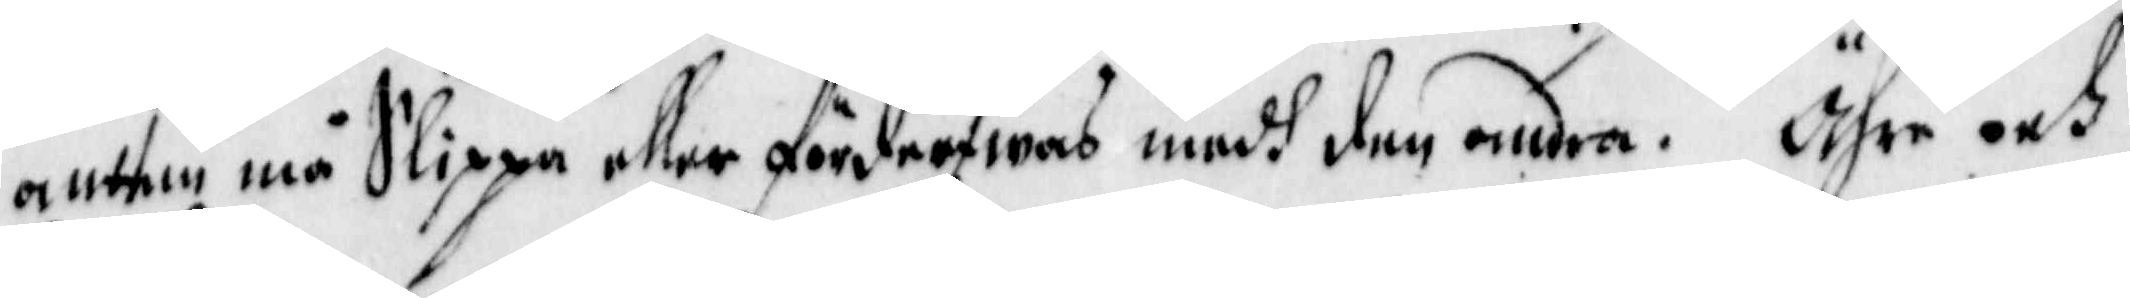antten må Slippa eller förderfwas medh den andra. Ähr och
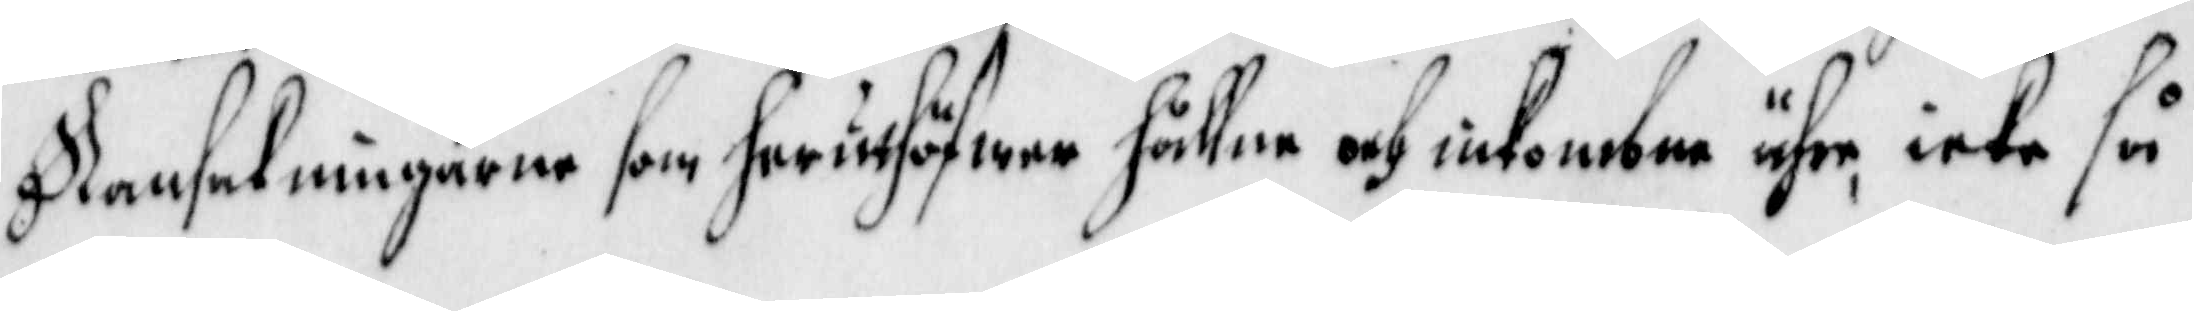Ransakningarne som heruthöfwer hållne och inkombne ähr icke så
